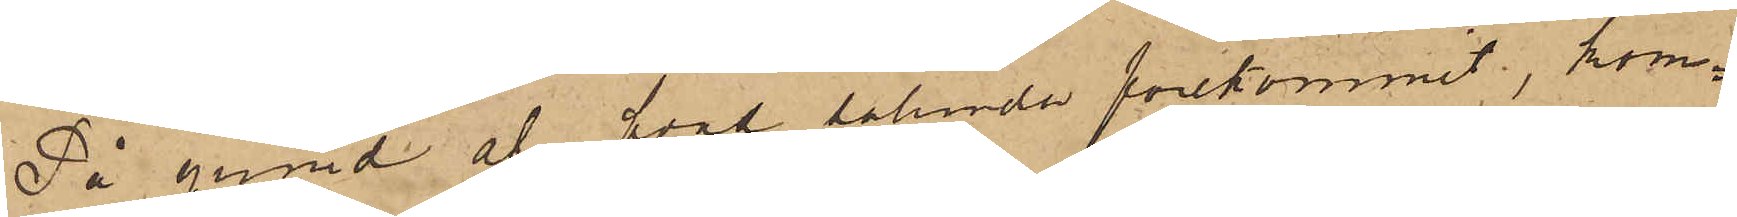På grund af hvad sålunda förekommit, kom¬
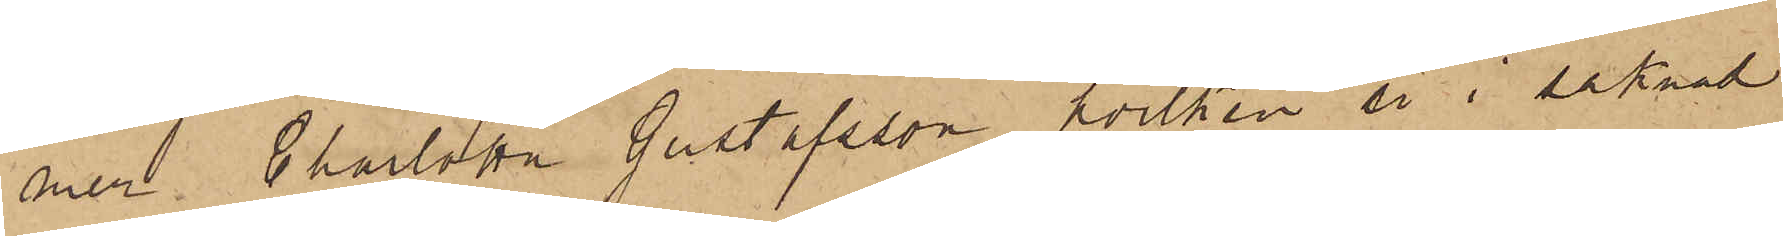mer Charlotta Gustafsson, hvilken är i saknad
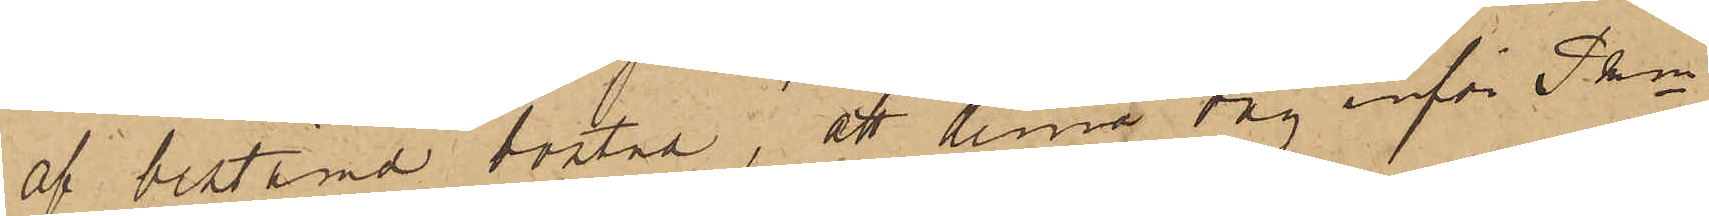af bestämd bostad, att denna dag inför Pkn
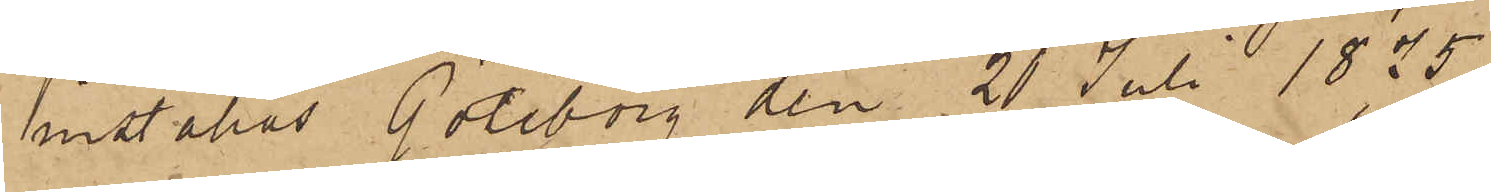inställas. Göteborg den 20 Juli 1875.
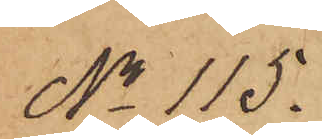No 115.
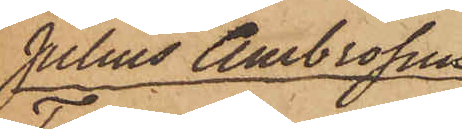Julius Ambrosius
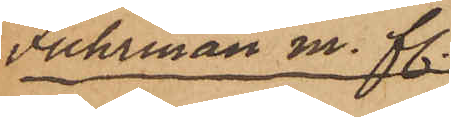Fuhrman m. fl.
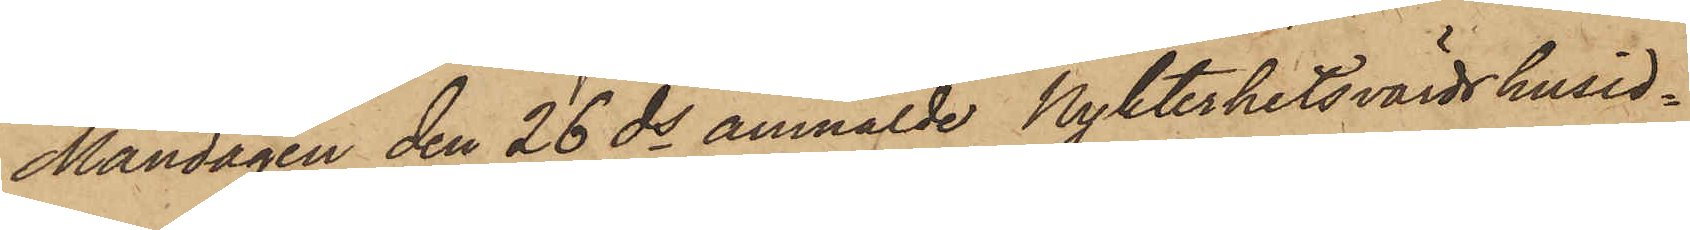Måndagen den 26 ds anmälde Nykterhetsvärdshusid¬
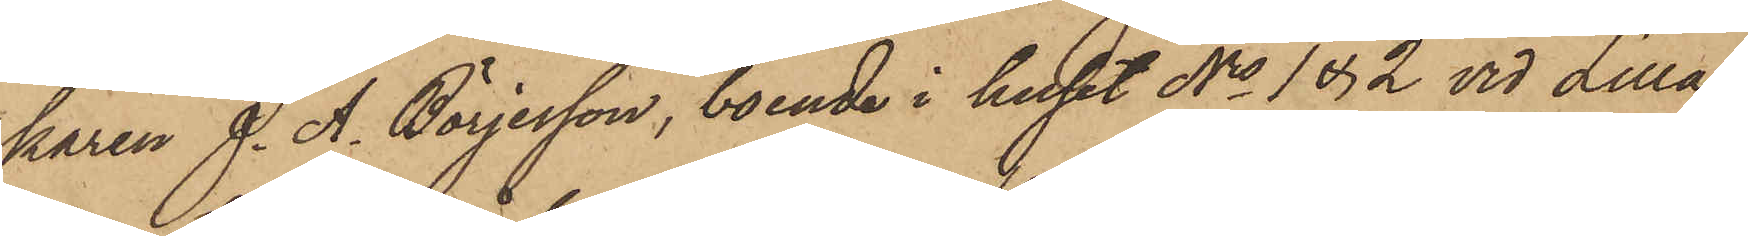karen J. A. Börjesson, boende i huset Nis 1 & 2 vid Lilla
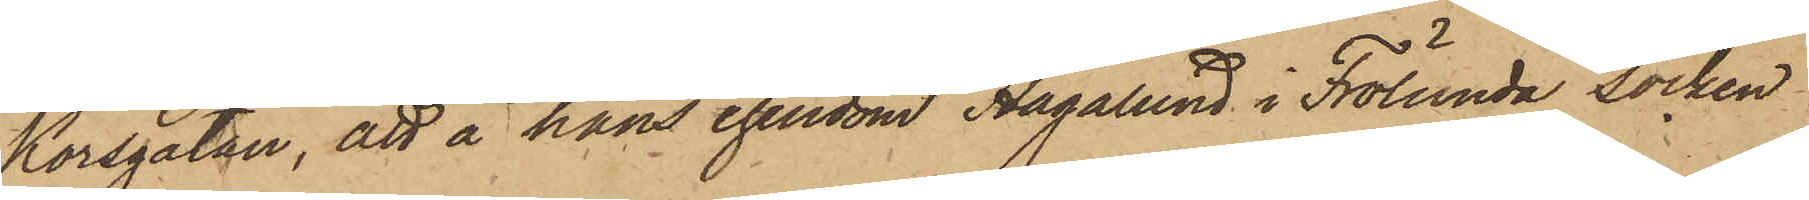Korsgatan, att å hans egendom Hagalund i Frölunda Socken,
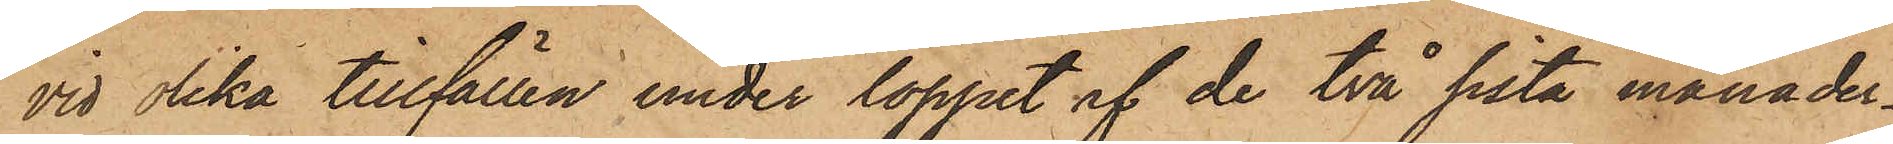vid olika tillfällen under loppet af de två sista månader¬
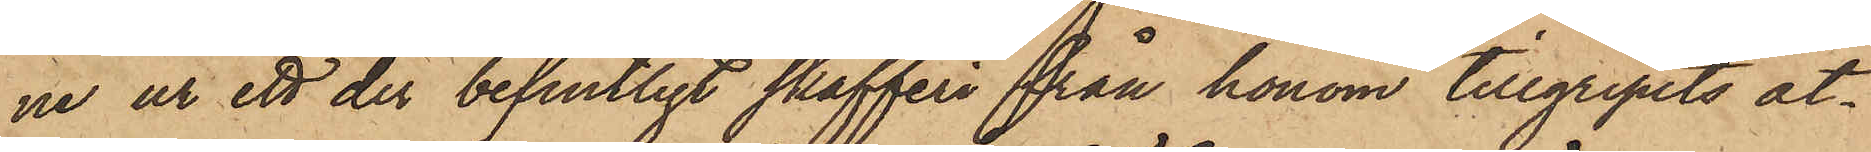ne ur ett der befintligt skafferi från honom tillgripits åt¬
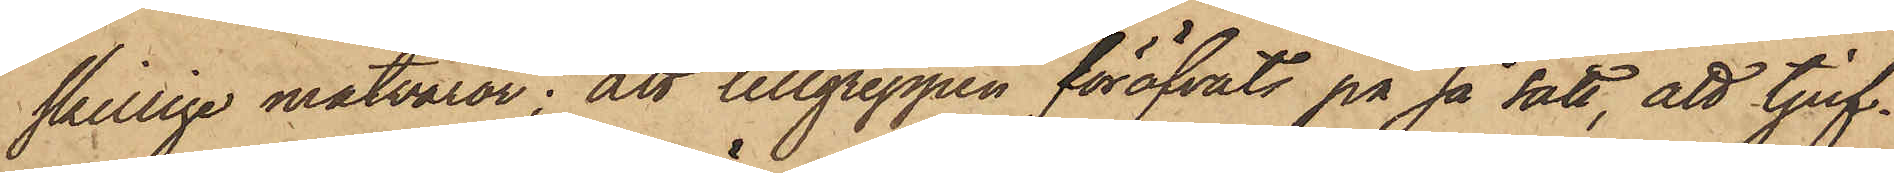skillige matvaror; att tillgreppen föröfvats på så sätt, att tjuf¬
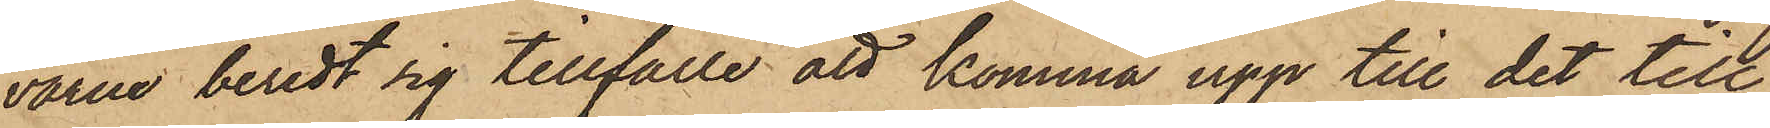varne beredt sig tillfälle att komma upp till det till
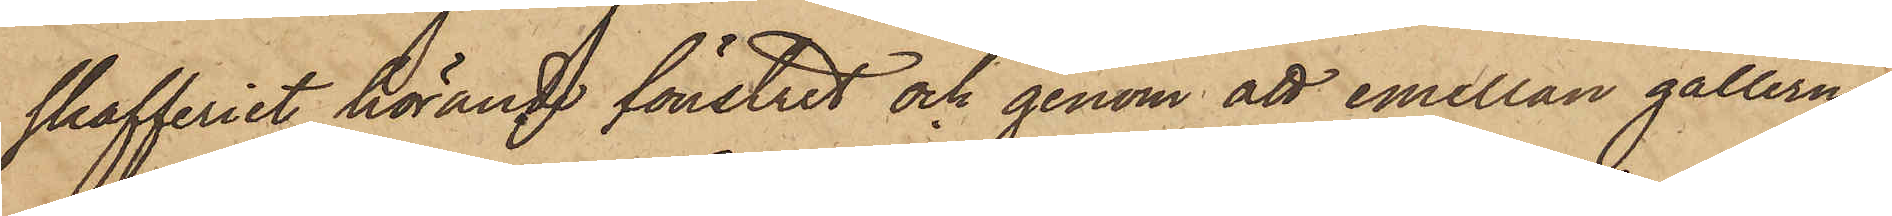skafferiet hörande fönstret och genom att emellan gallerna
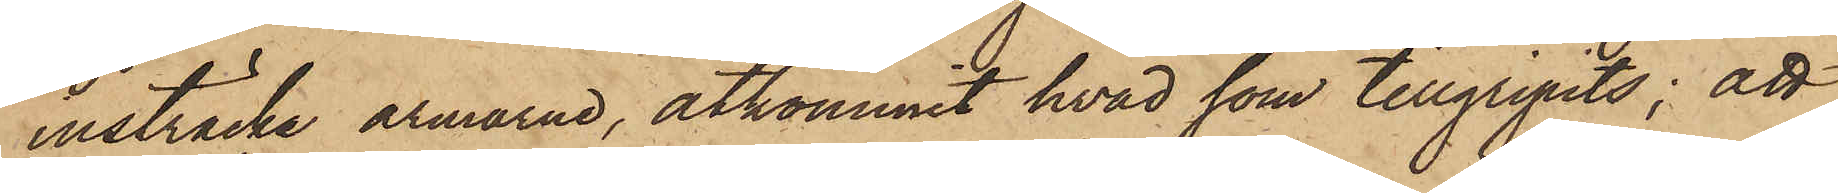insträcka armarna, åtkommit hvad som tillgripits; att
